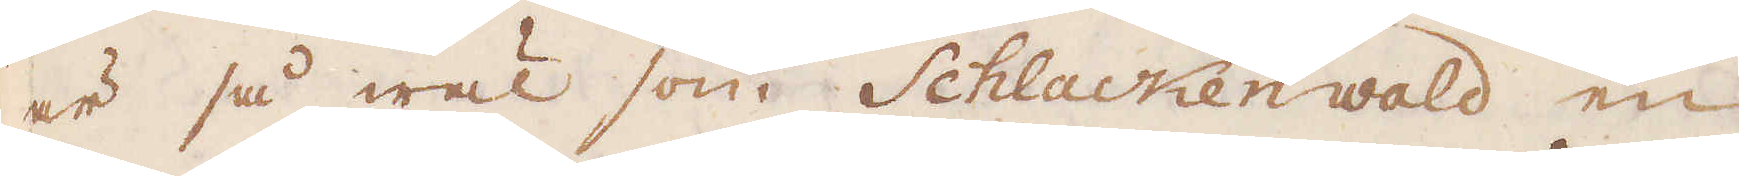är så wäl som Schlackenwald en
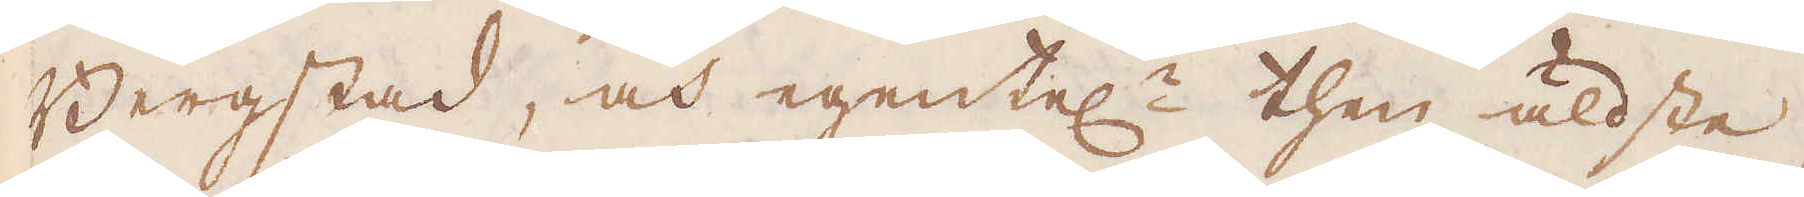Bergstad, och egentel:n then äldste,
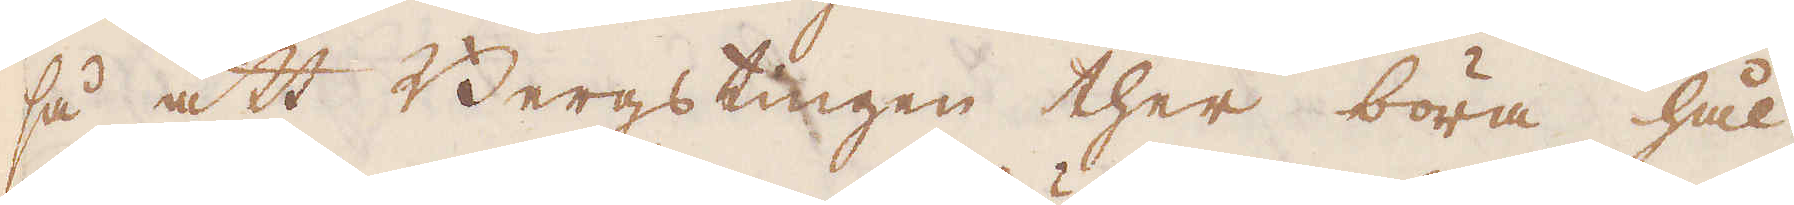så att Bergstingen ther böra hål-
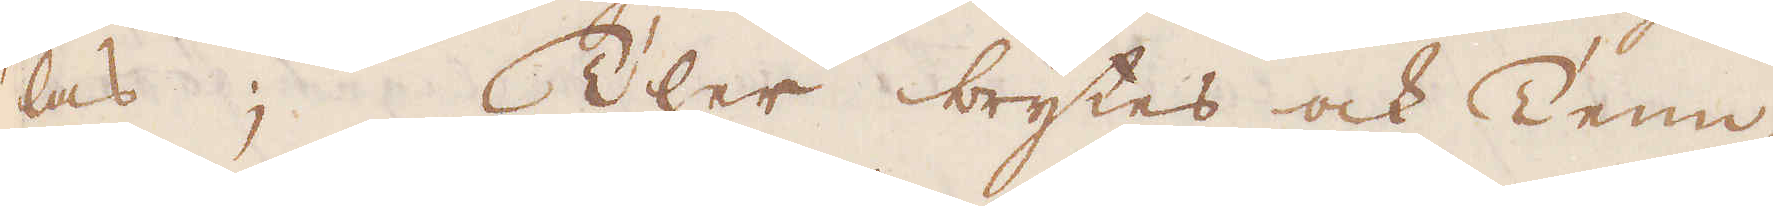las; Ther brytes ock Tenn,
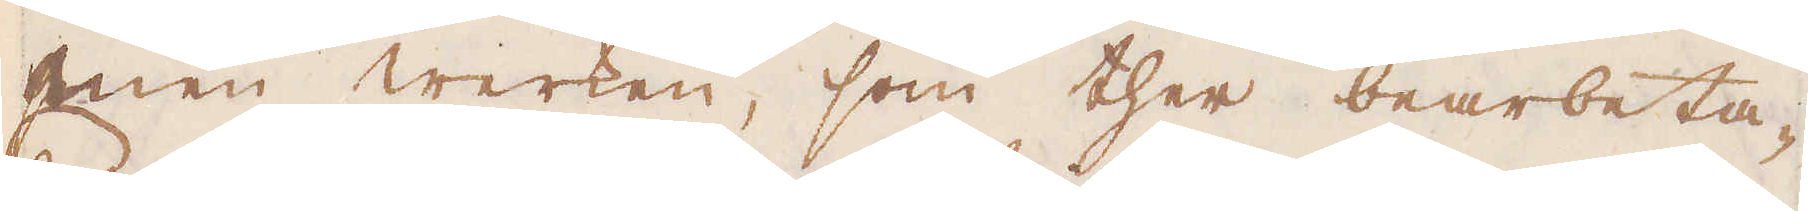men werken, som ther bearbeta-
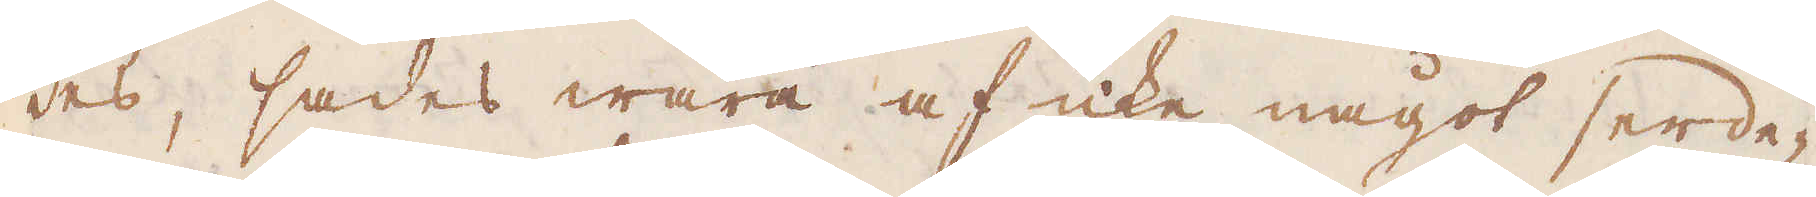des, sades wara af icke något serde-
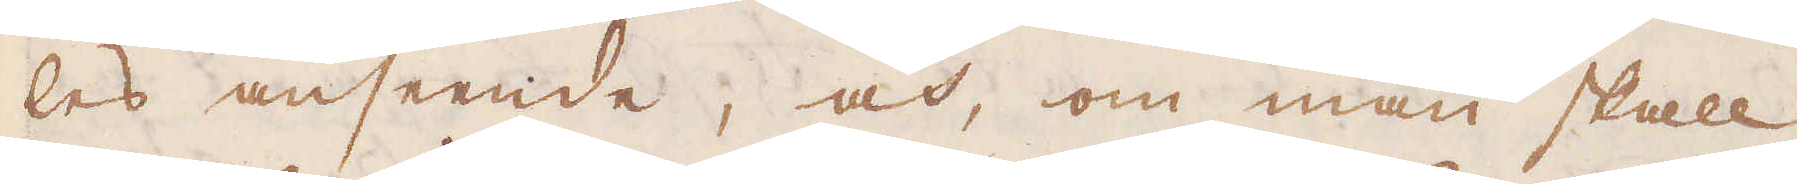les anseende, och, om man skall
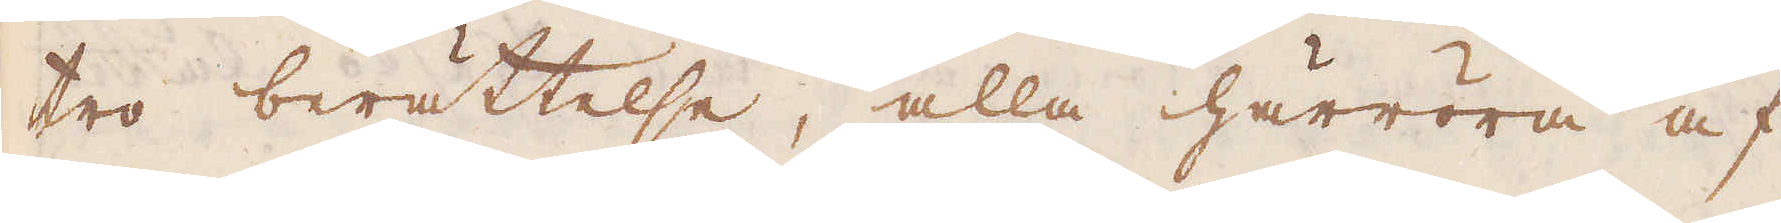tro berättelse, alla härröra af
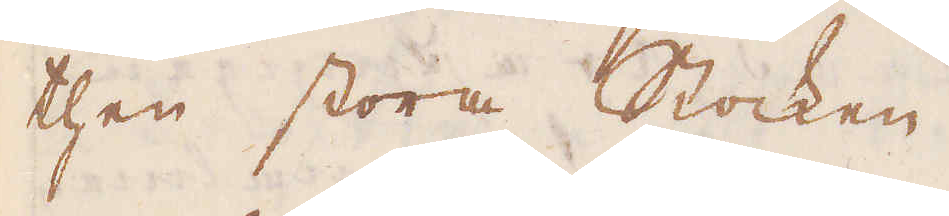then stora Stocken.
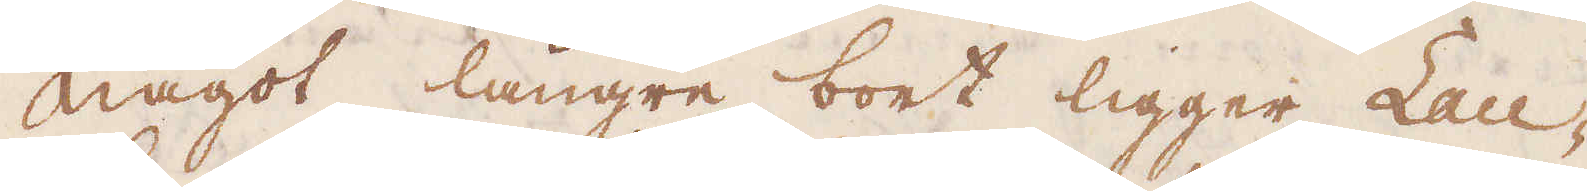Något längre bort ligger Lau-
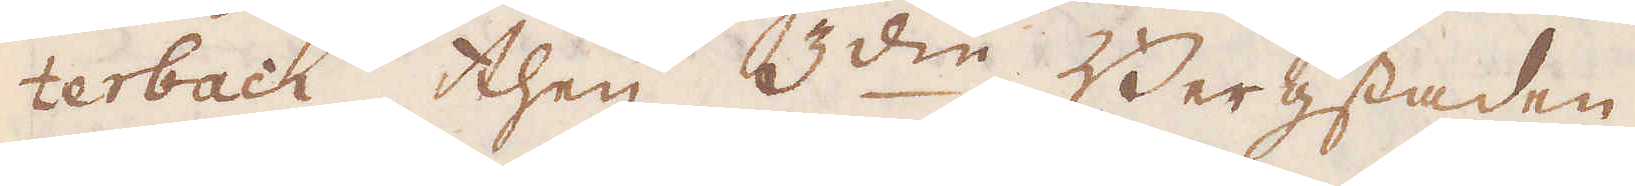terbach, then 3:die Bergstaden
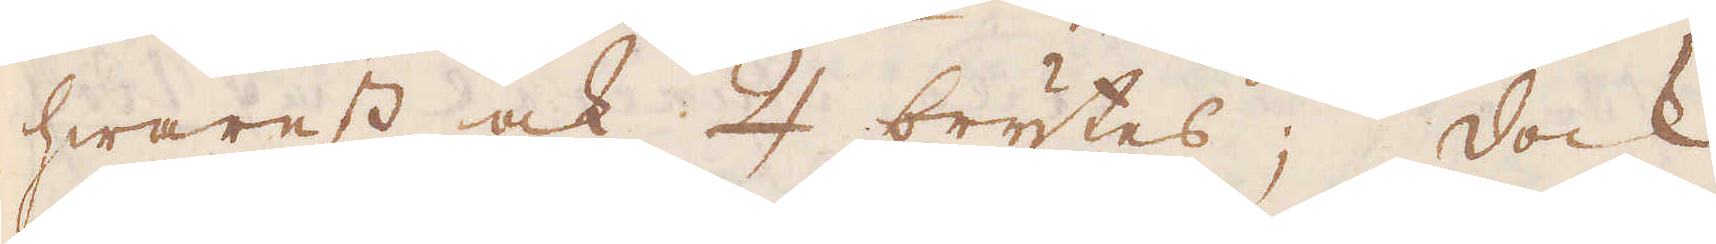hwarest ock ♃ brytes; dock
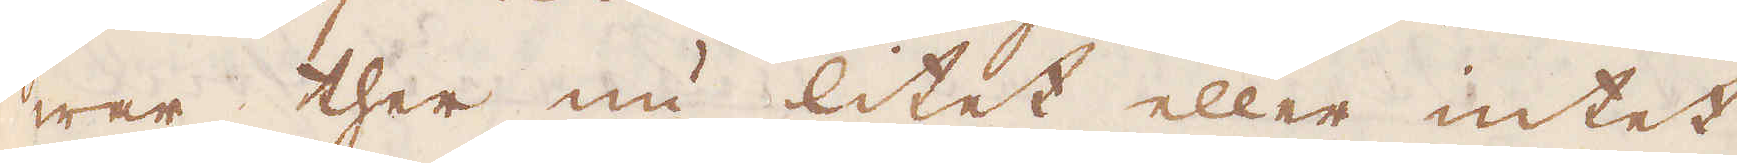war ther nu litet eller intet
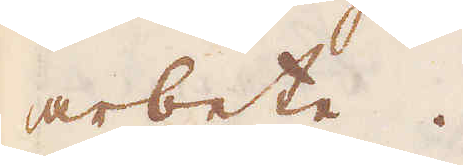arbete.
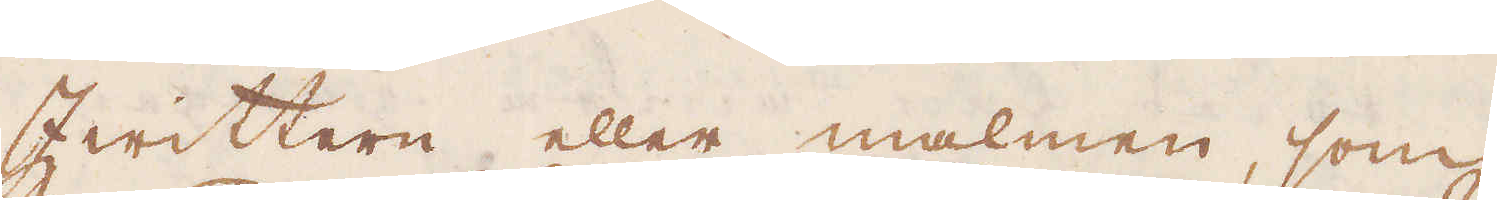Zwittern eller malmen, som
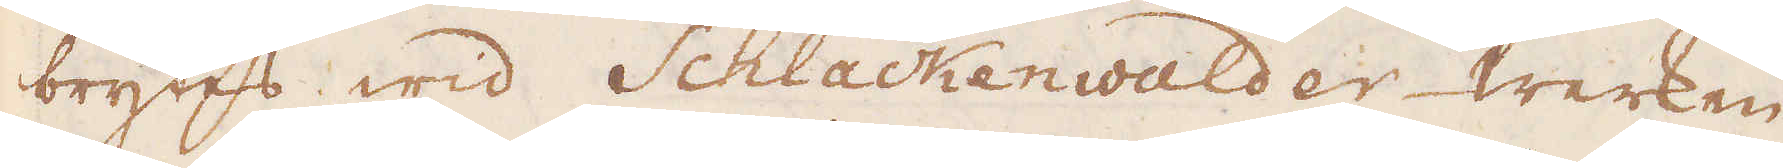brytes wid Schlackenwalder-werken
